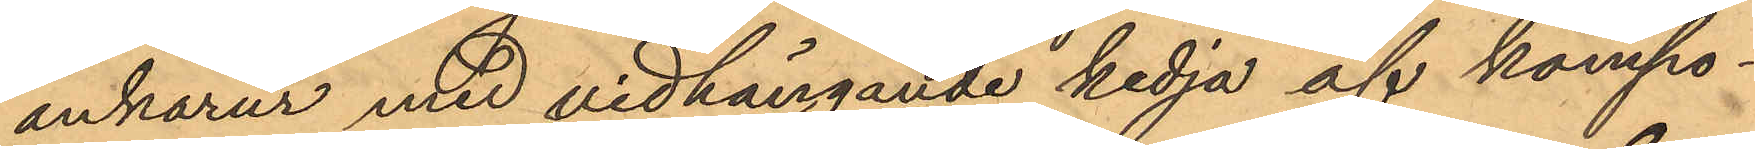ankarur med vidhängande kedja af kompo¬
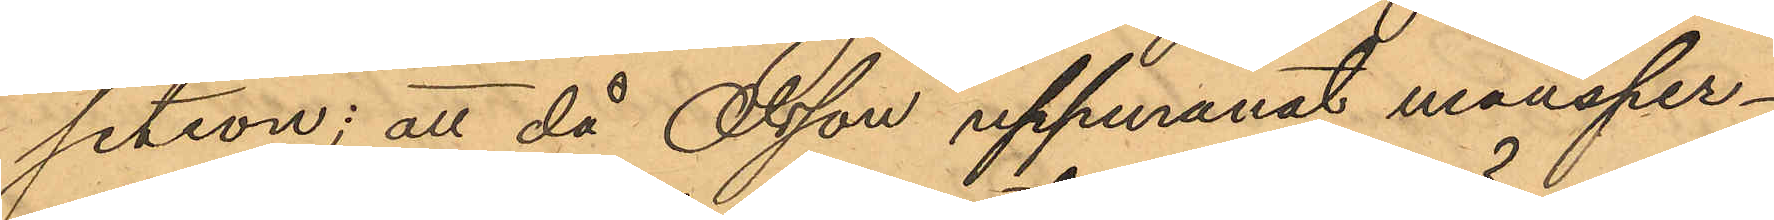setion; att då Olsson uppmanat mansper¬
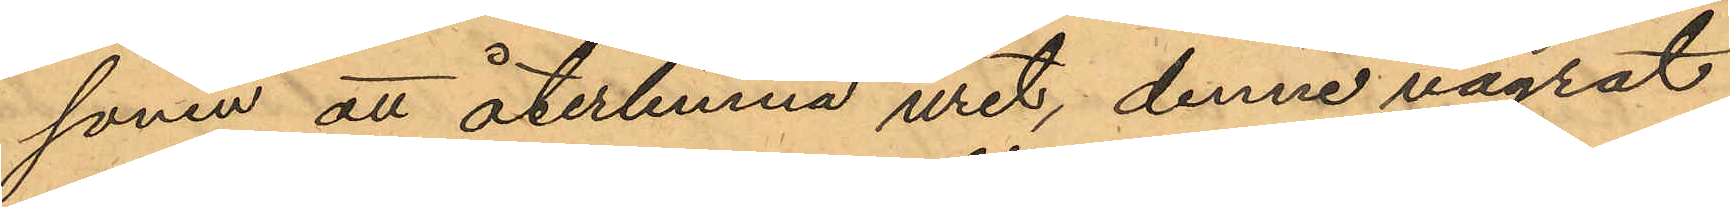sonen att återlemna uret, denne vägrat
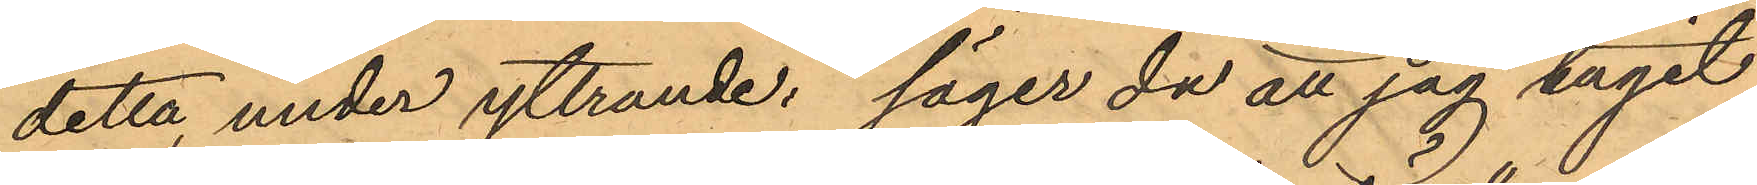detta, under yttrande: "säger du att jag tagit
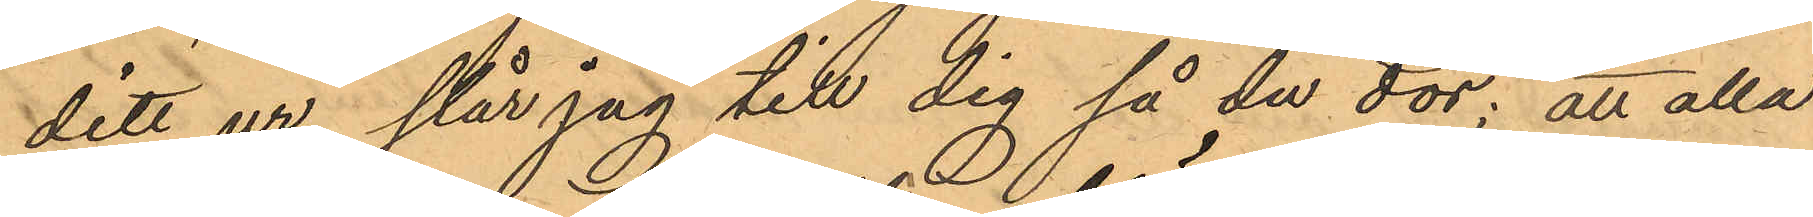ditt ur, slår jag till dig så du dör;" att alla
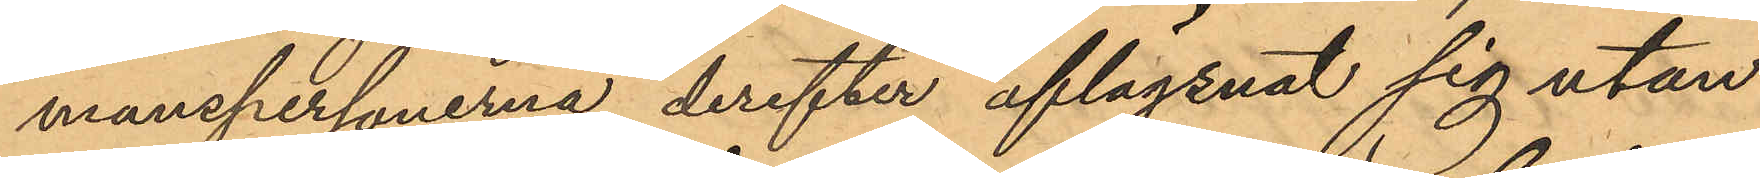manspersonerna derefter aflägsnat sig utan
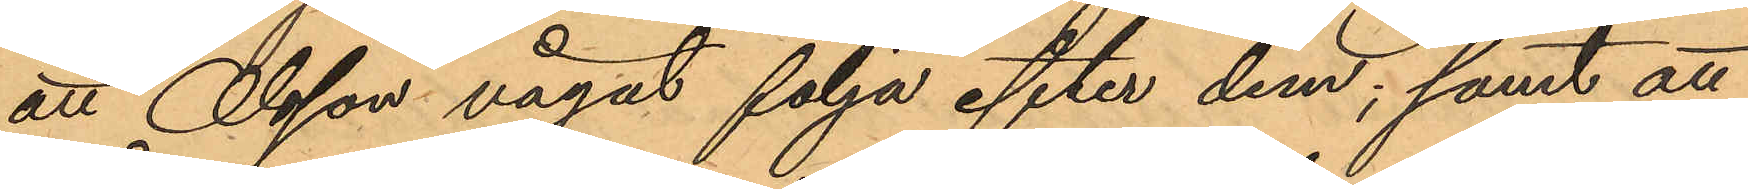att Olsson vågat följa efter dem; samt att
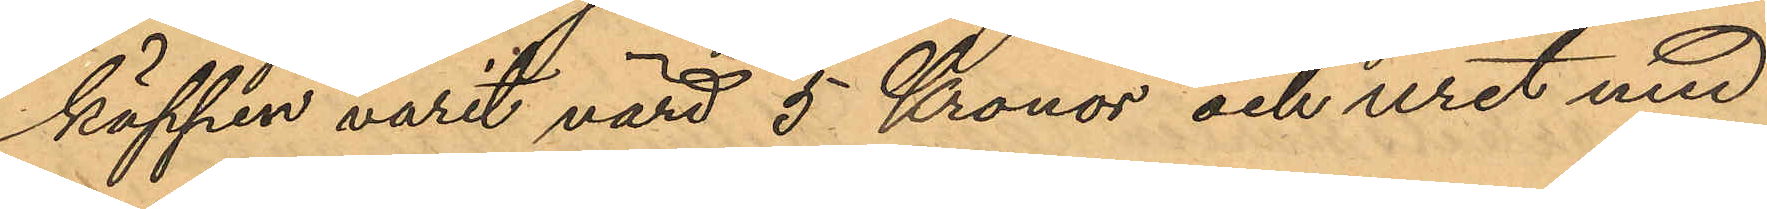käppen varit värd 5 Kronor och uret med
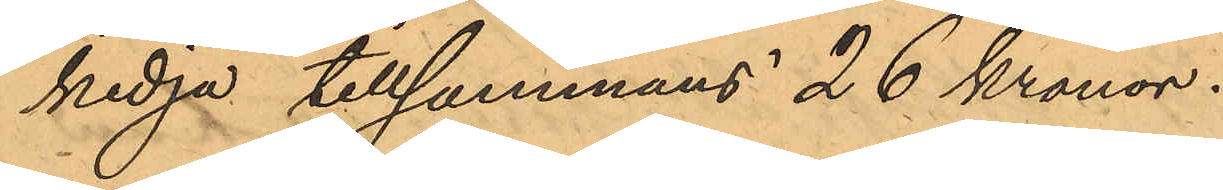kedja tillsammans 26 kronor.
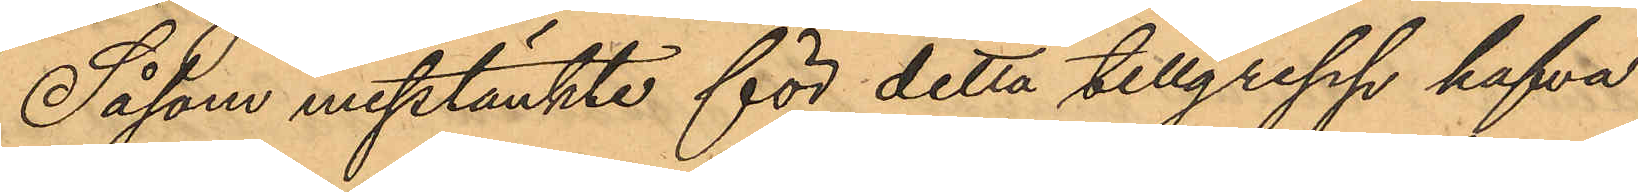Såsom misstänkte för detta tillgrepp hafva
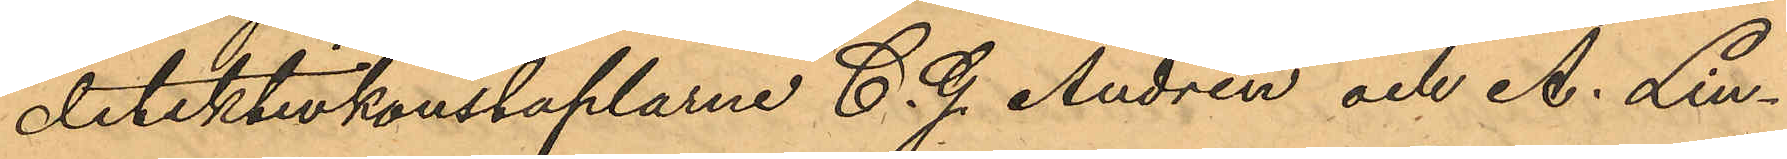detektivkonstaplarne C. G. Andrén och A. Lin¬
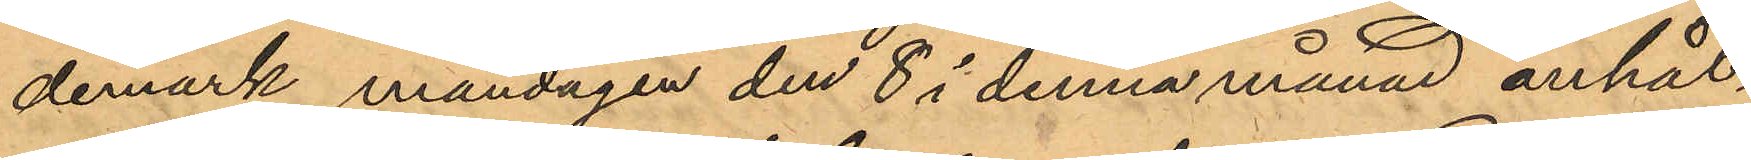demark måndagen den 8 i denna månad anhål¬
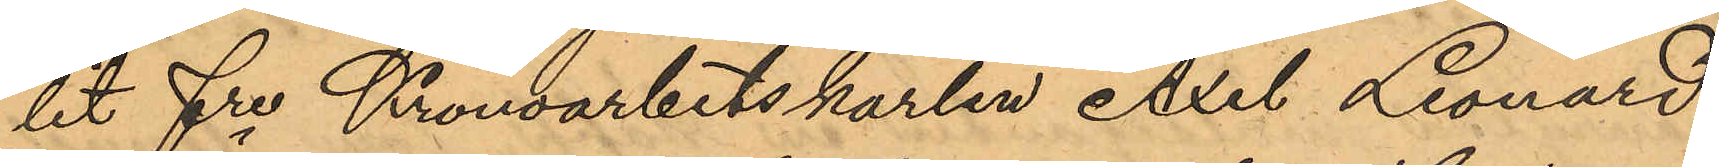lit fre Kronoarbetskarlen Axel Leonard
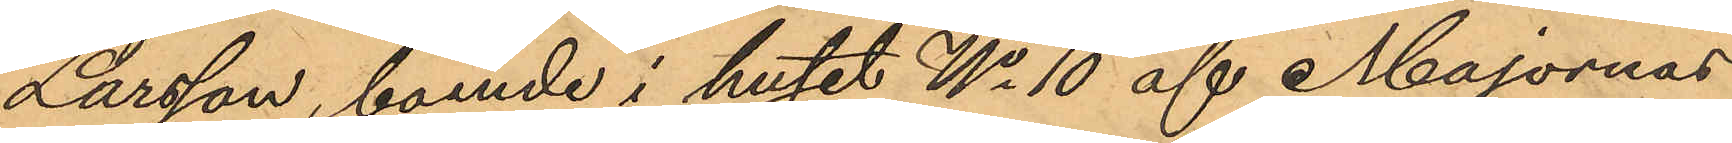Larsson, boende i huset No 10 af Majornas
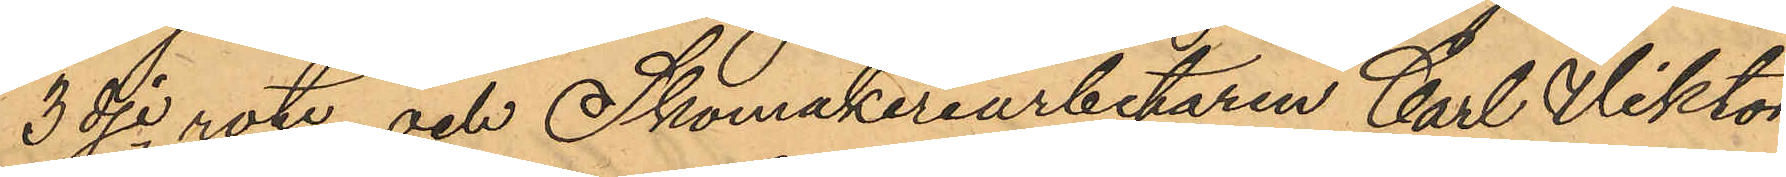3dje rote, och Skomakeriarbetaren Carl Viktor
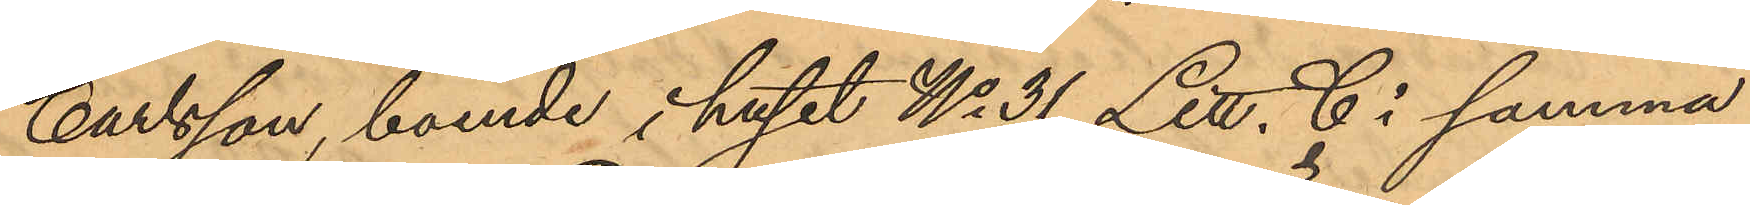Carlsson, boende i huset No 31 Litt. C i samma
